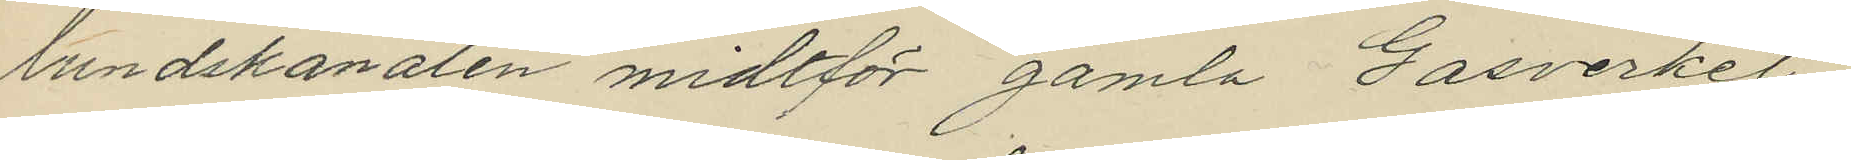lundskanalen midtför gamla Gasverket,
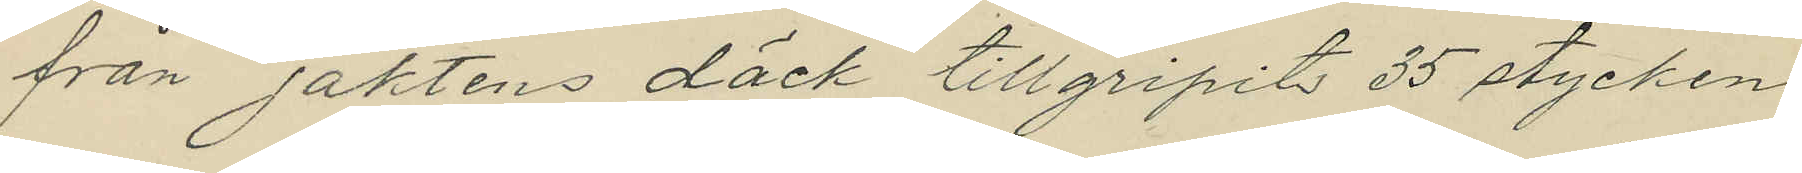från jaktens däck tillgripits 35 stycken
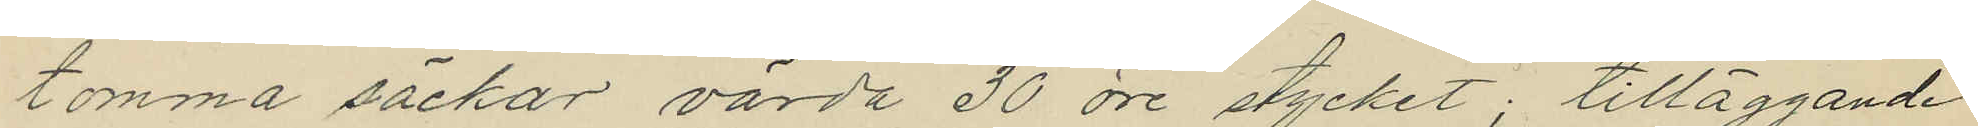tomma säckar, värda 30 öre stycket; tilläggande
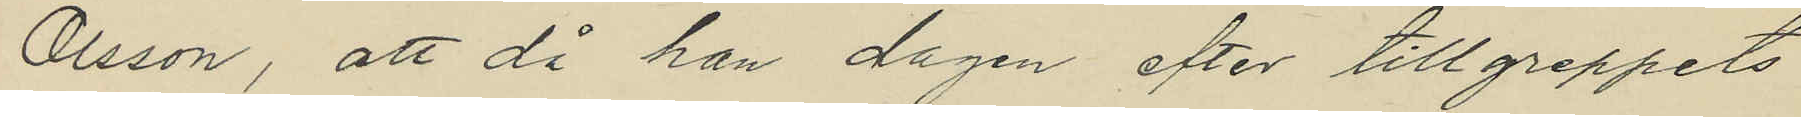Olsson, att då han dagen efter tillgreppets
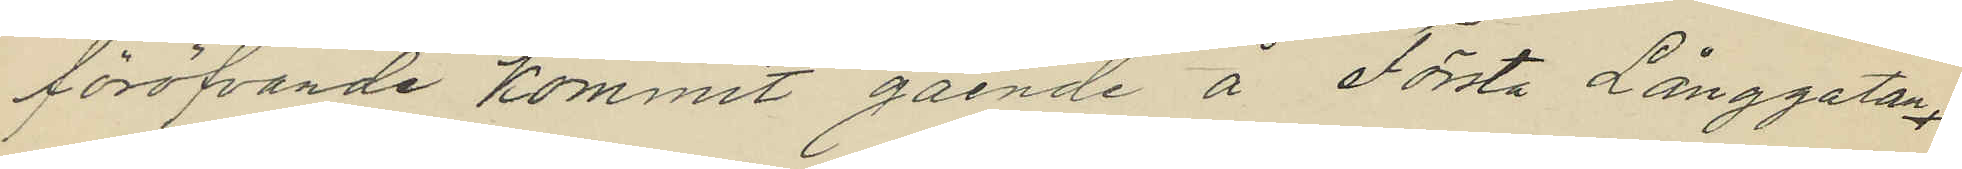föröfvande kommit gående å Första Långgatan,
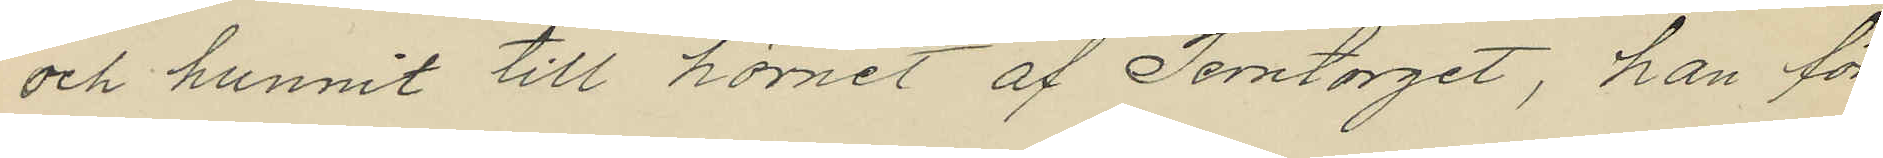och hunnit till hörnet af Jerntorget, han för
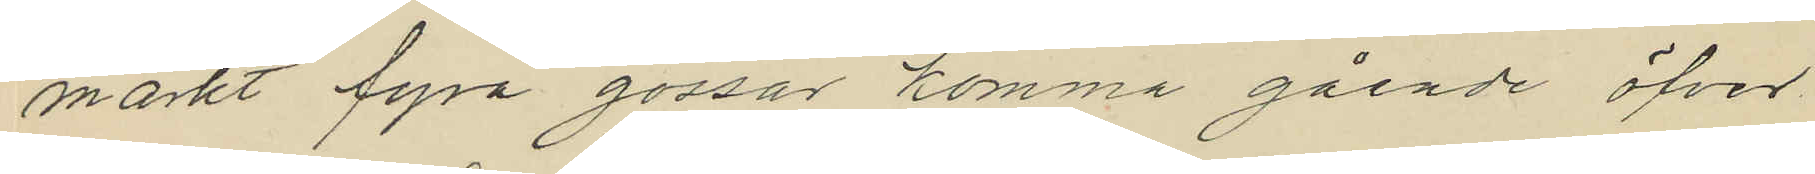märkt fyra gossar komma gående öfver
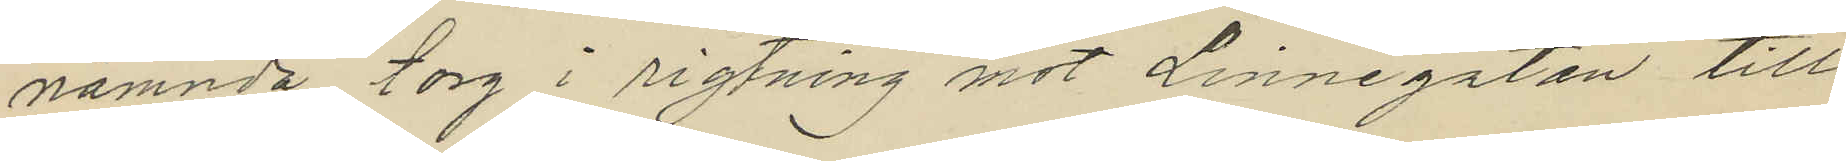nämnda torg i rigtning mot Linnegatan till
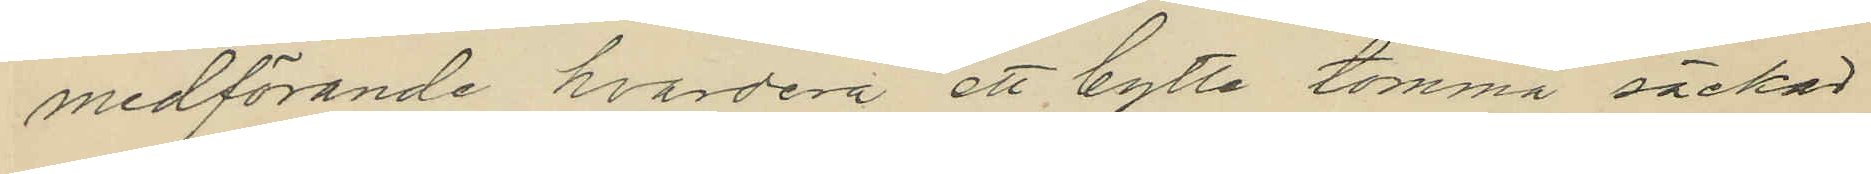medförande hvardera ett bylte tomma säckar
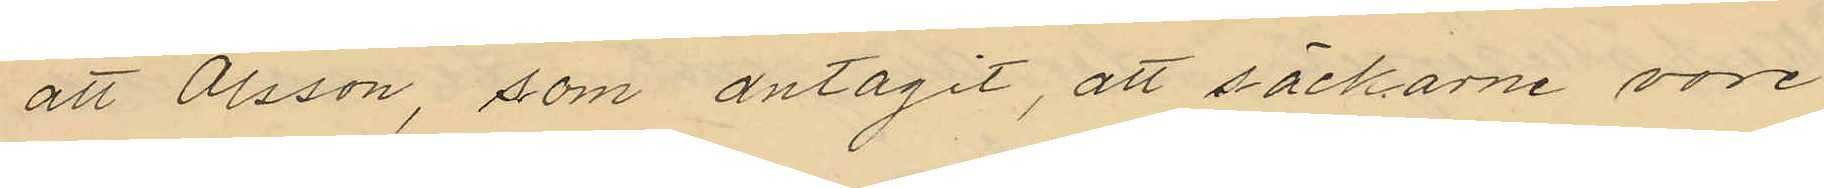att Olsson, som antagit, att säckarne vore
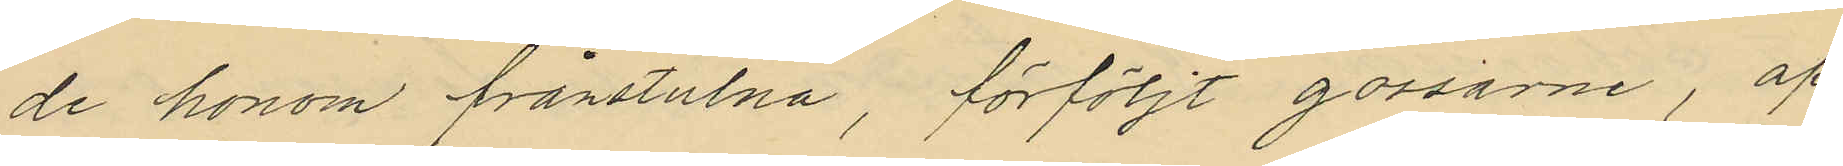de honom frånstulna, förföljt gossarne, af
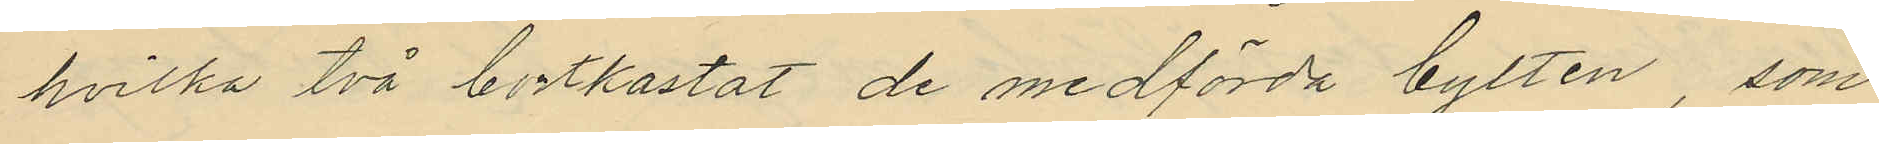hvilka två bortkastat de medförda bylten, som
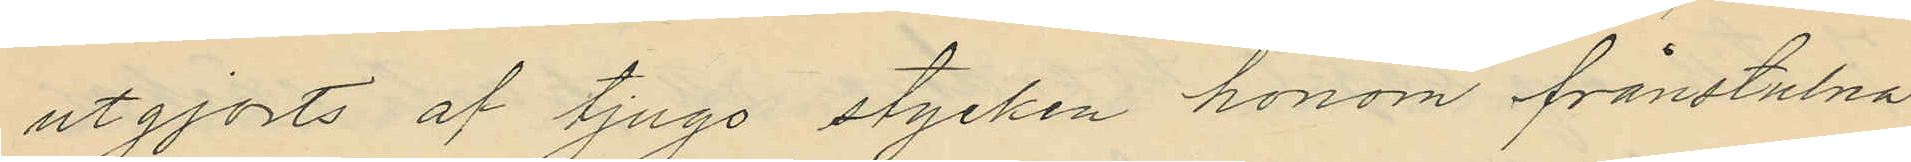utgjorts af tjugo stycken honom frånstulna
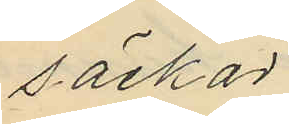säckar.
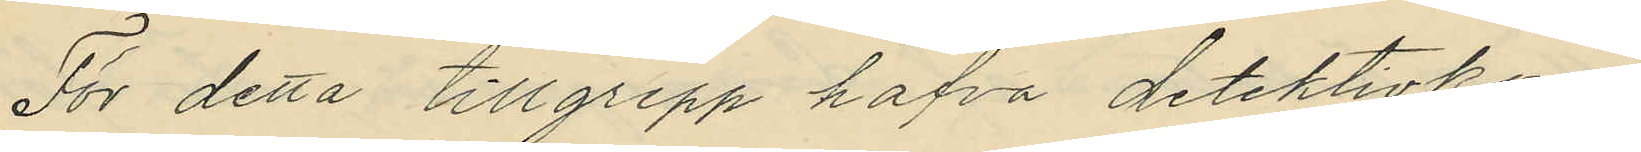För detta tillgrepp hafva detektivkon¬
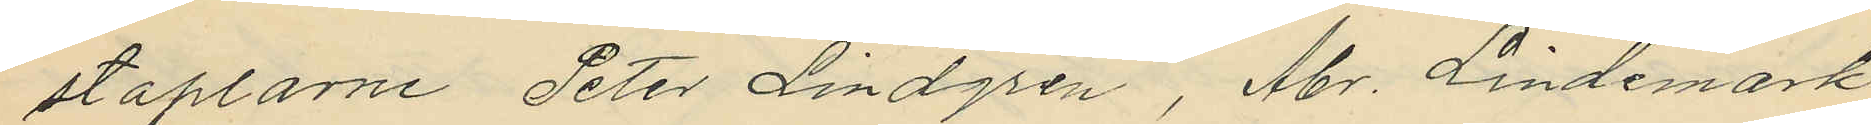staplarne Peter Lindgren, Abr. Lindemark
